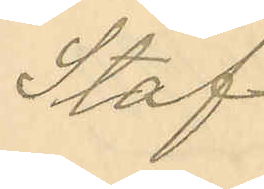Staf
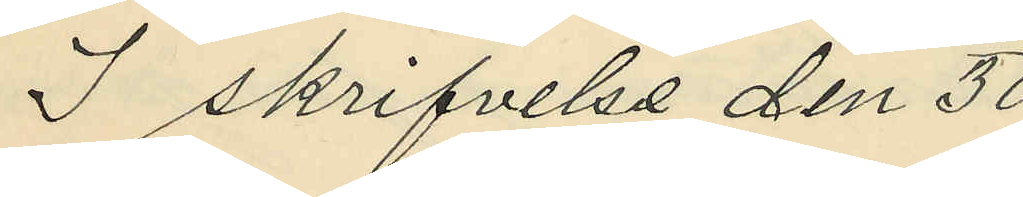I skrifvelse den 30
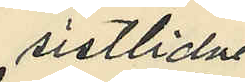sistlidne
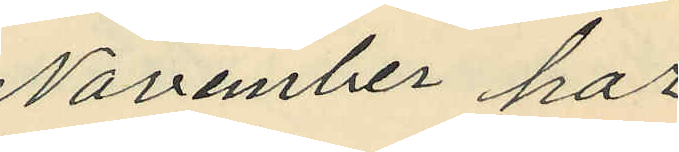November har
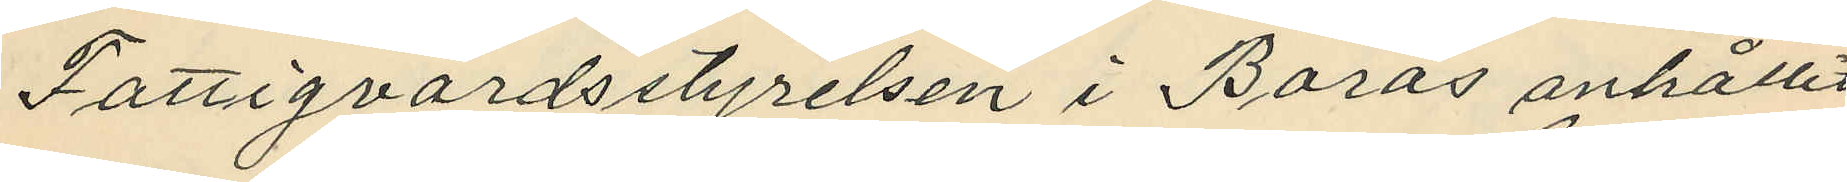Fattigvårdsstyrelsen i Borås anhållit
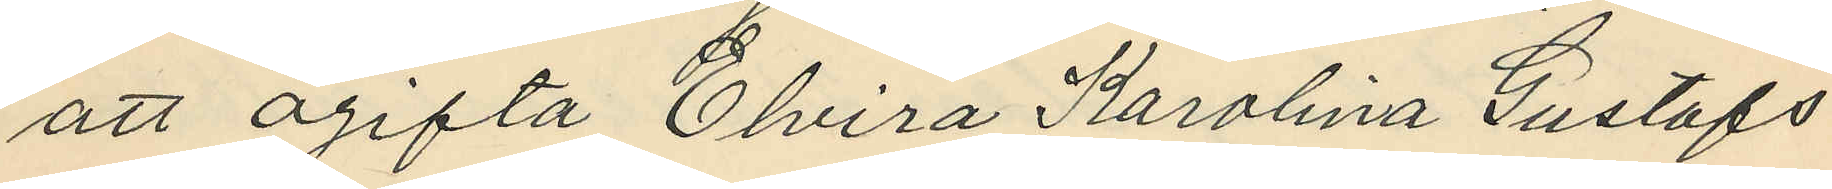att ogifta Elvira Karolina Gustafs¬
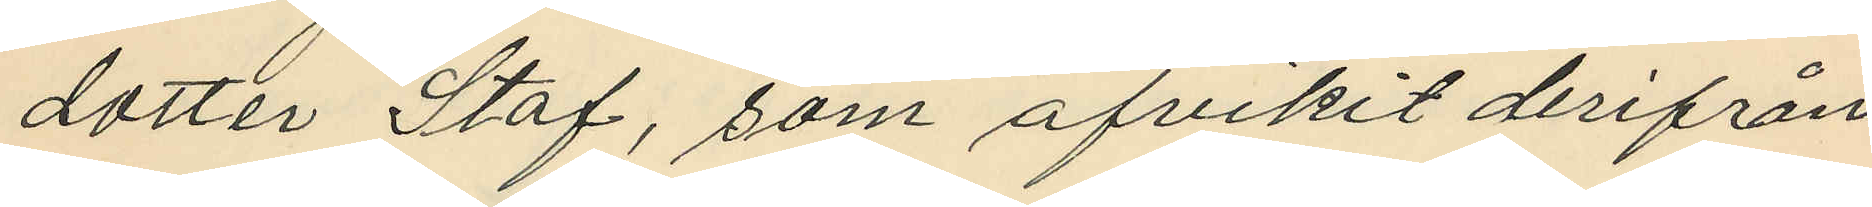dotter Staf, som afvikit derifrån
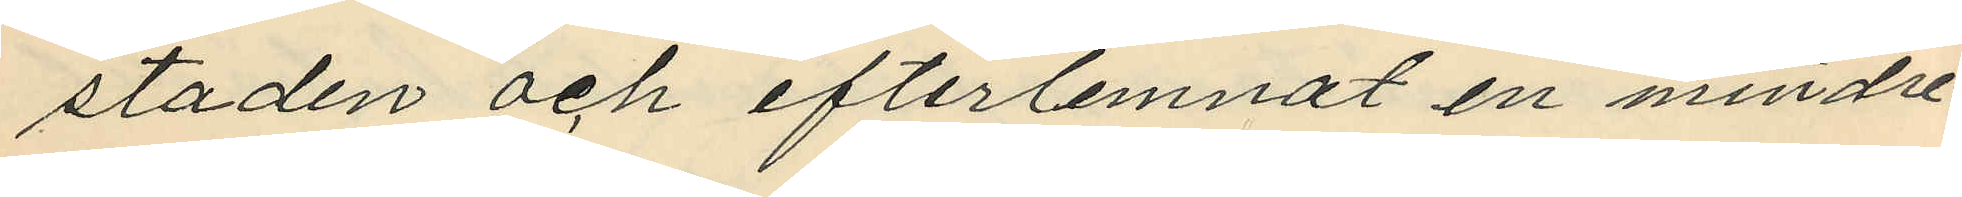staden och efterlemnat en mindre¬
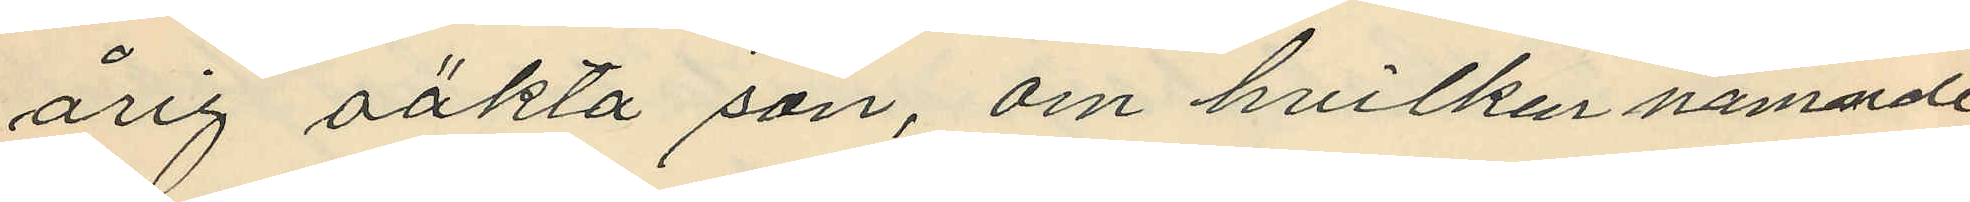årig oäkta son, om hvilken nämnde
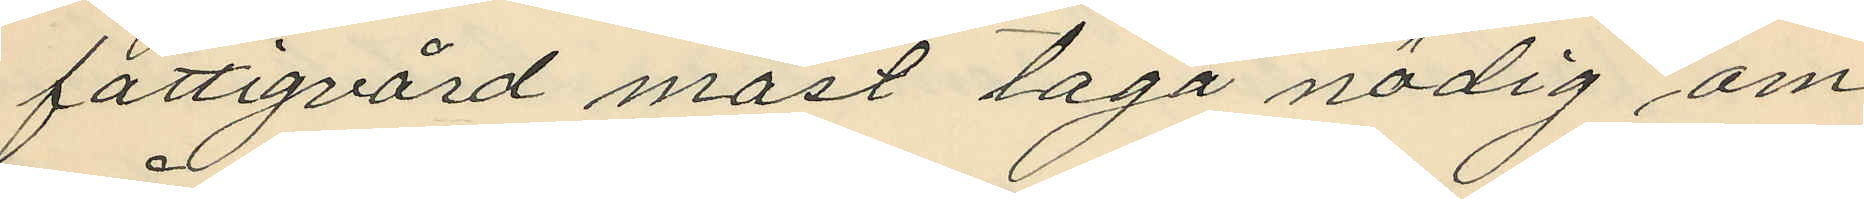fattigvård måst taga nödig om¬
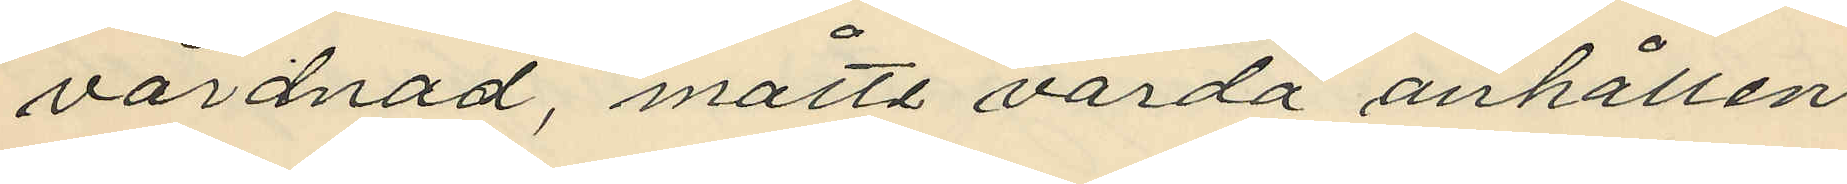vårdnad, måtte varda anhållen
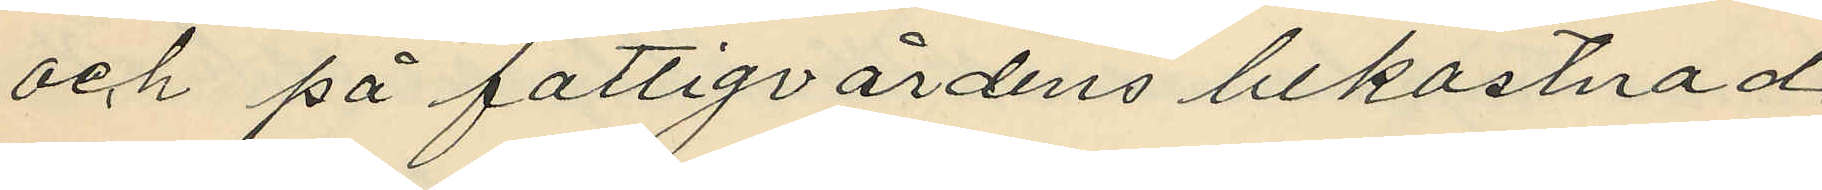och på fattigvårdens bekostnad
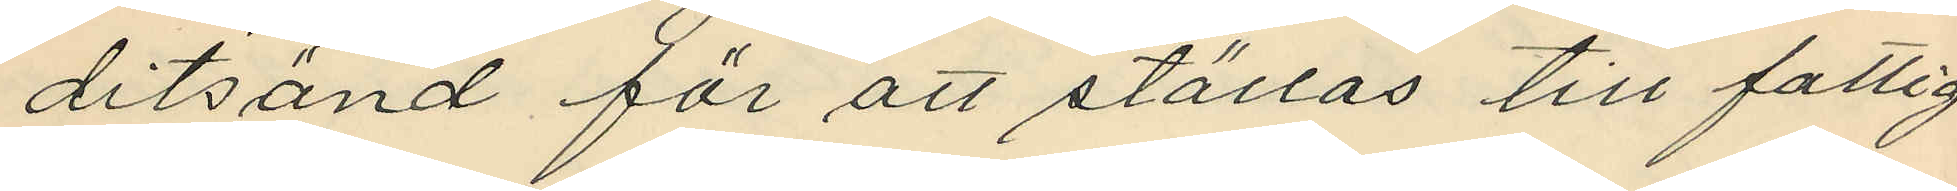ditsänd för att ställas till fattig
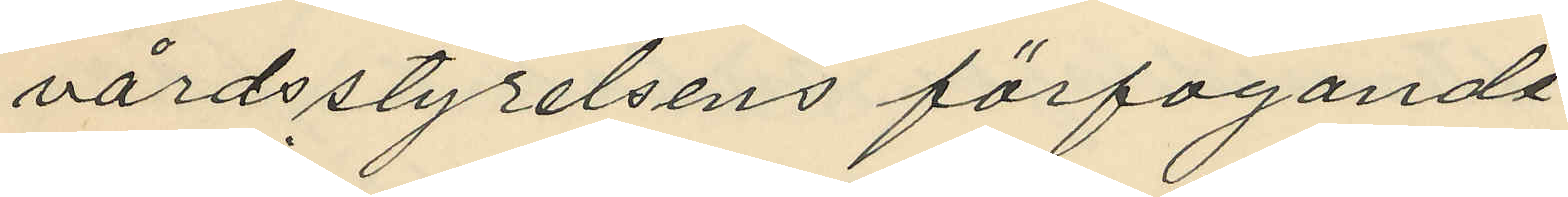vårdsstyrelsens förfogande.
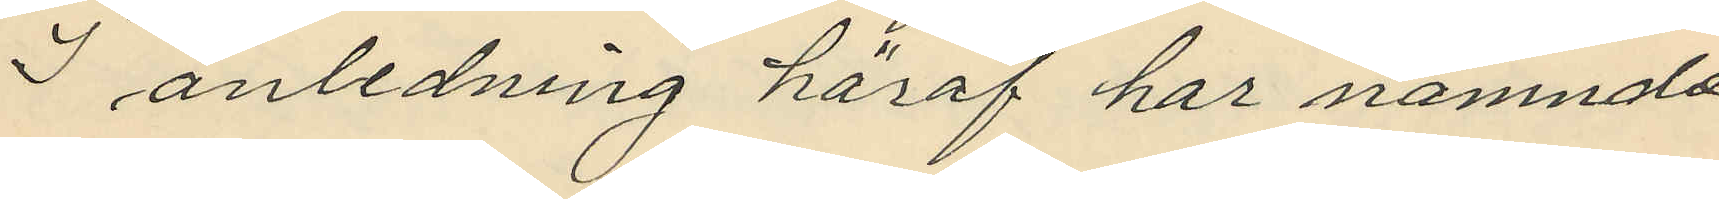I anledning häraf har nämnde
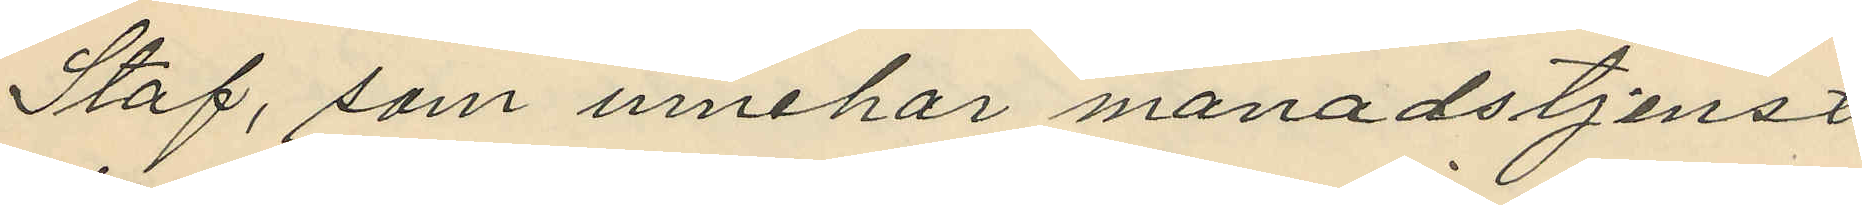Staf, som innehar manadstjenst
